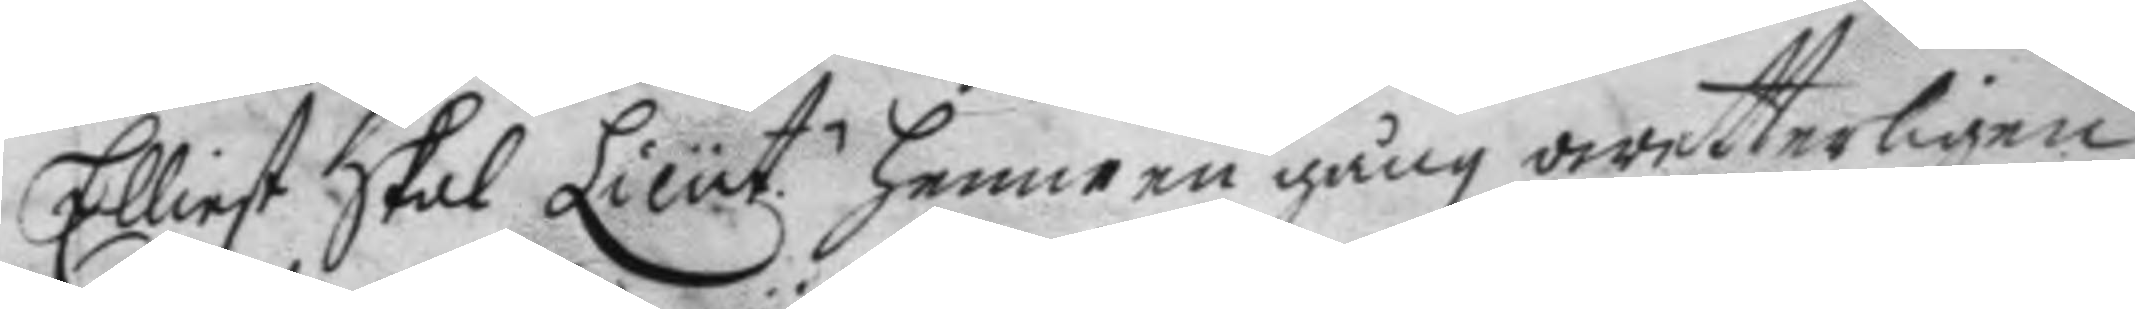Elliest skal Lieut henne en gång owetterligen
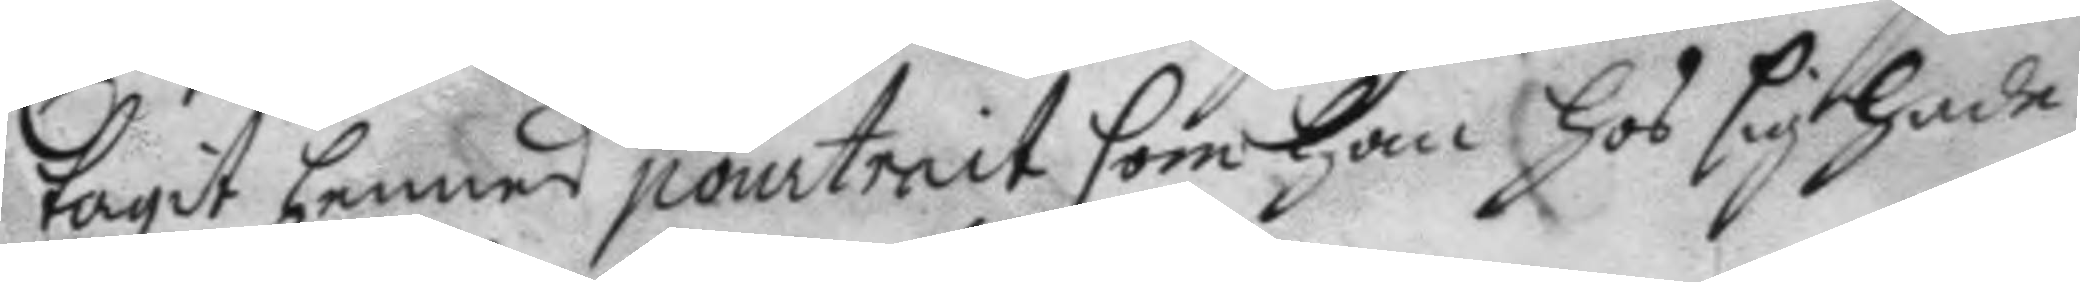tagit hennes pourtrait som han hos sig hade,
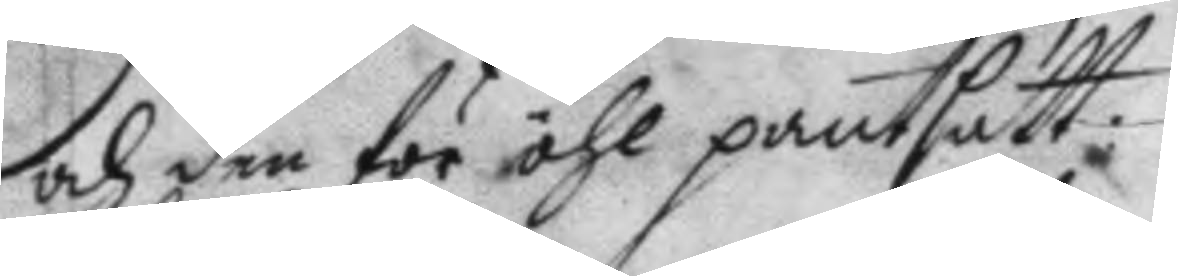och den för öhl pantsatt.
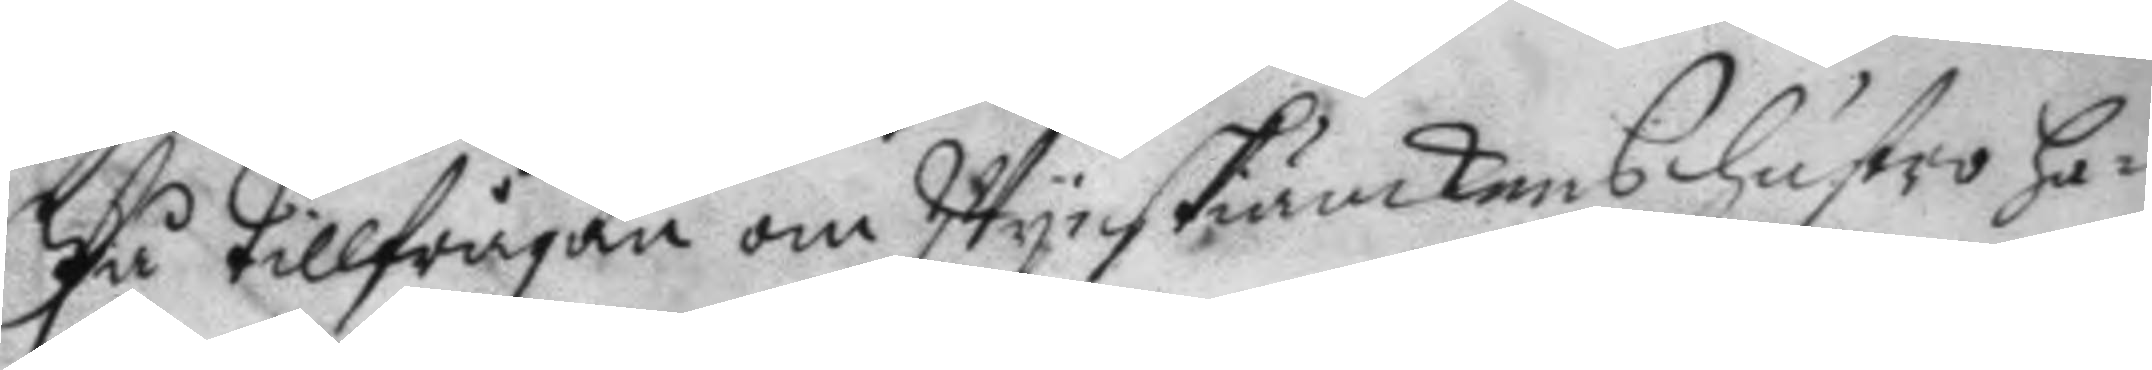På tillfrågan om Wynskänkens hustro ha¬
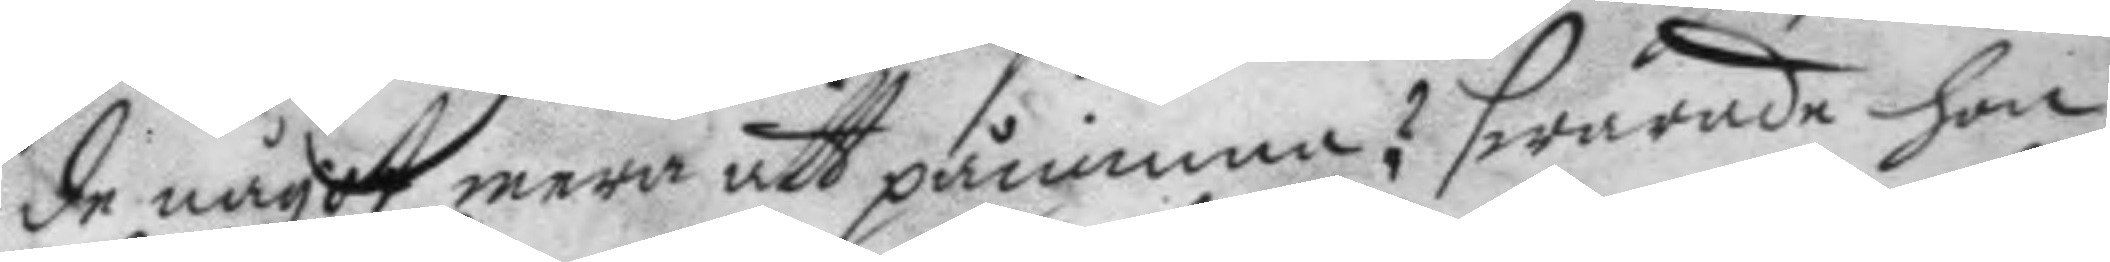de något mera att påminna? swarade hon
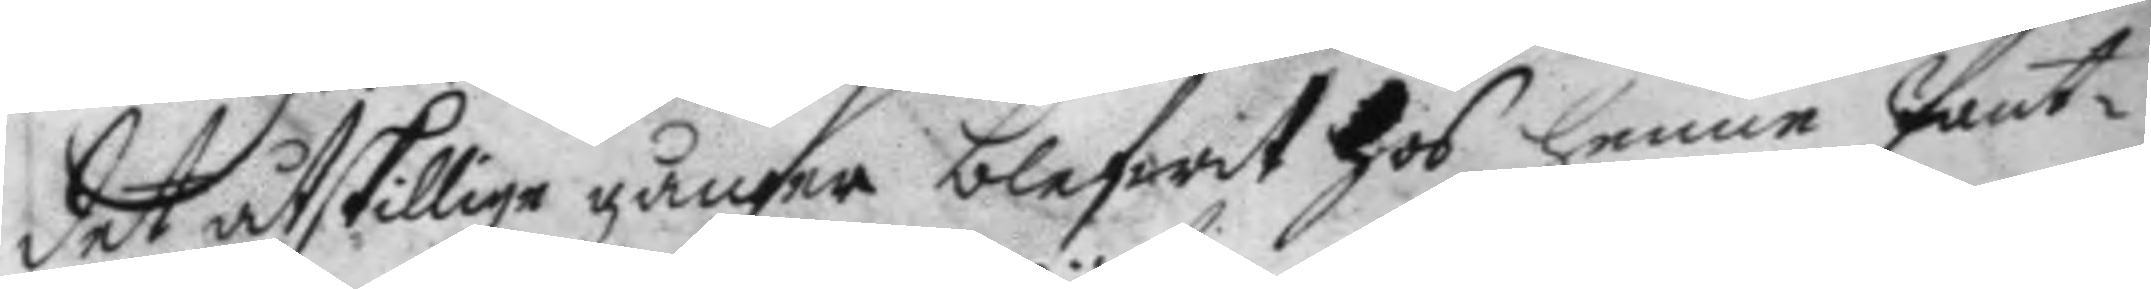det åtskillige gånger blifwit hos henne Pant¬
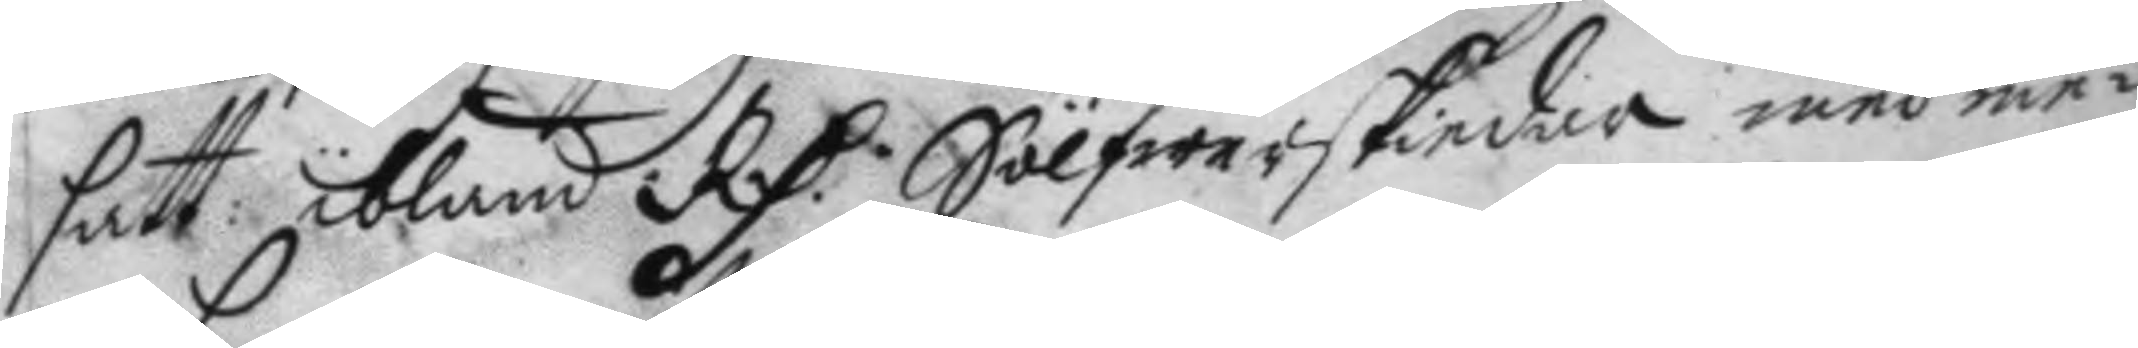fatt ibland RD.r Sölfwerskiedna med me¬ 
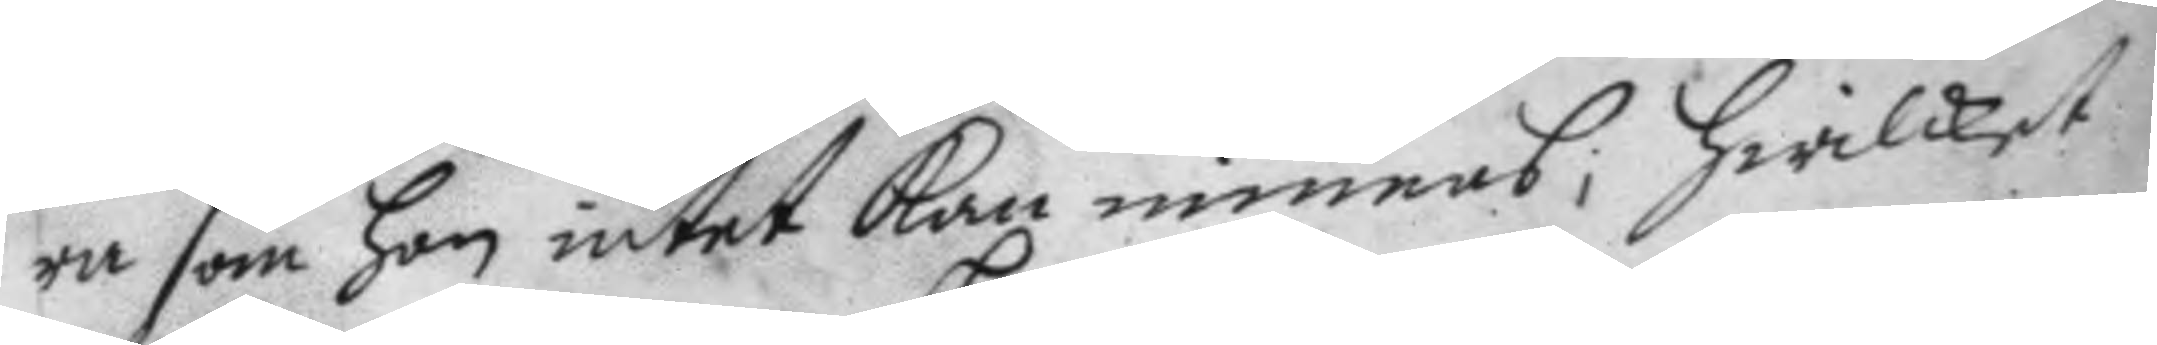ra som hon intet kan minnas; Hwilket
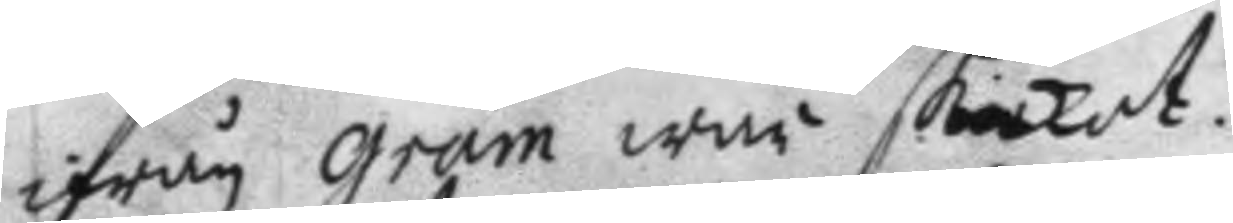ifrån Gram war skickat.
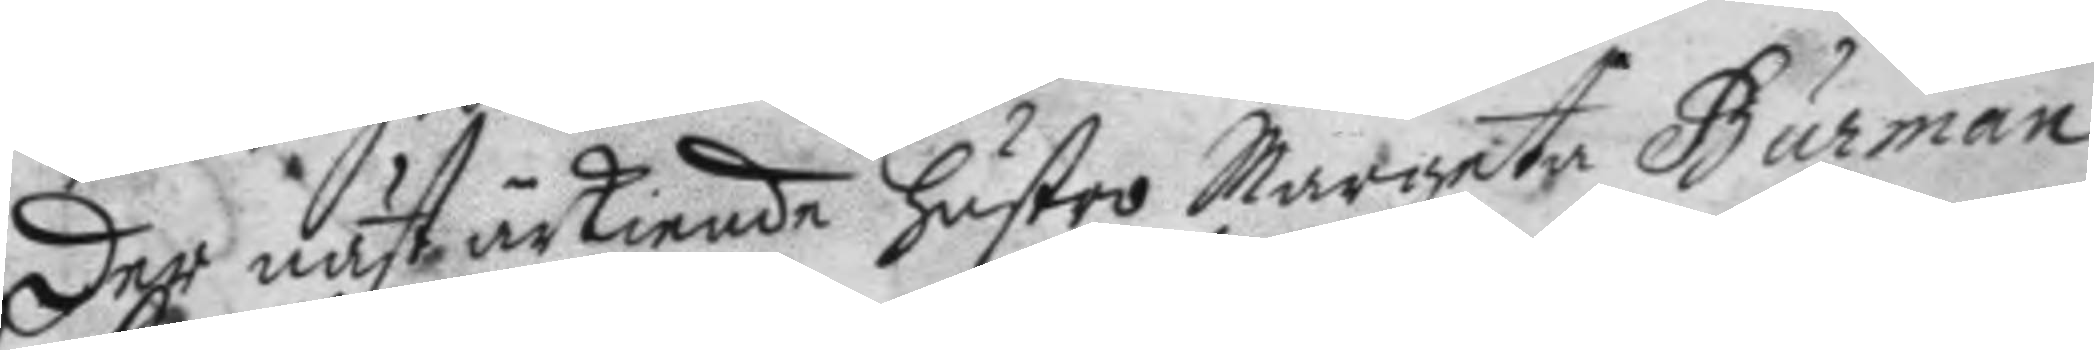Der näst ärkiende hustro Margeta Burman
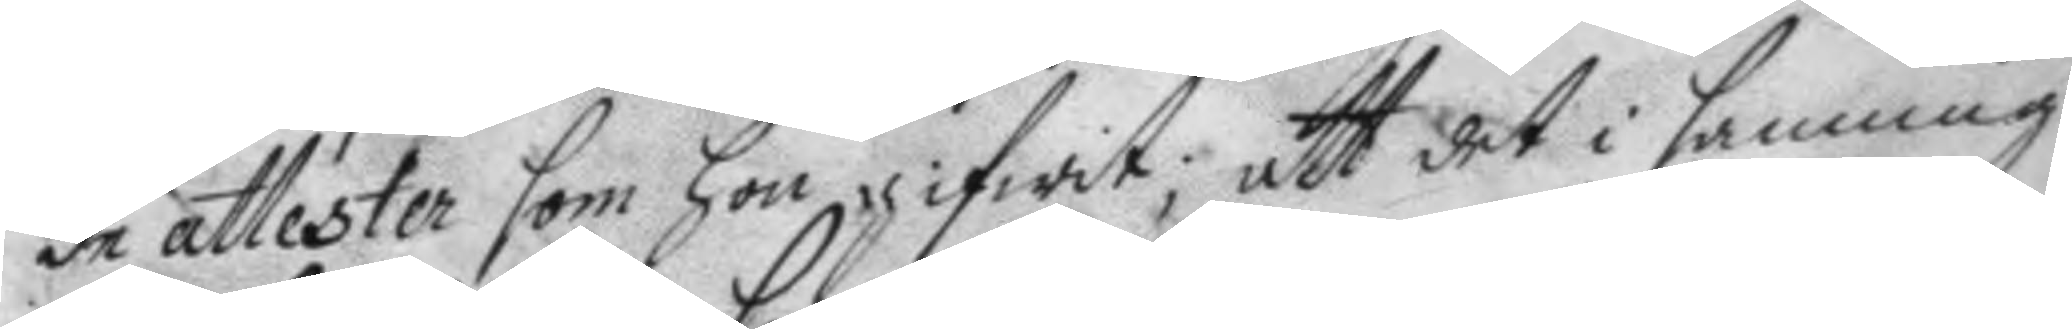de attester som hon gifwit; att det i sanning
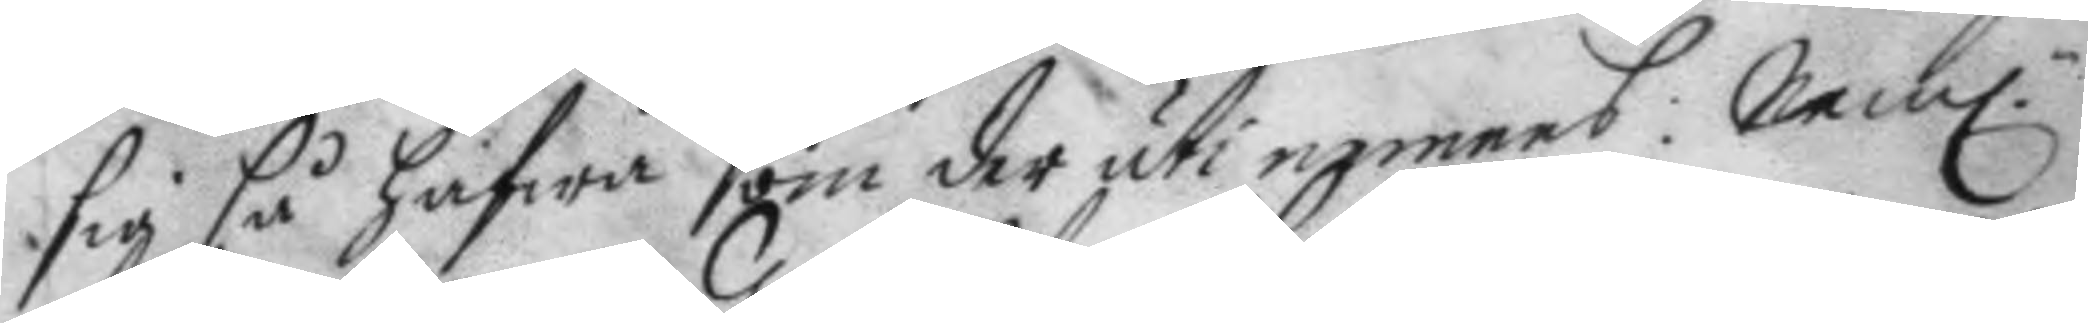sig så hafwa som der uti nemnes: Nem.n
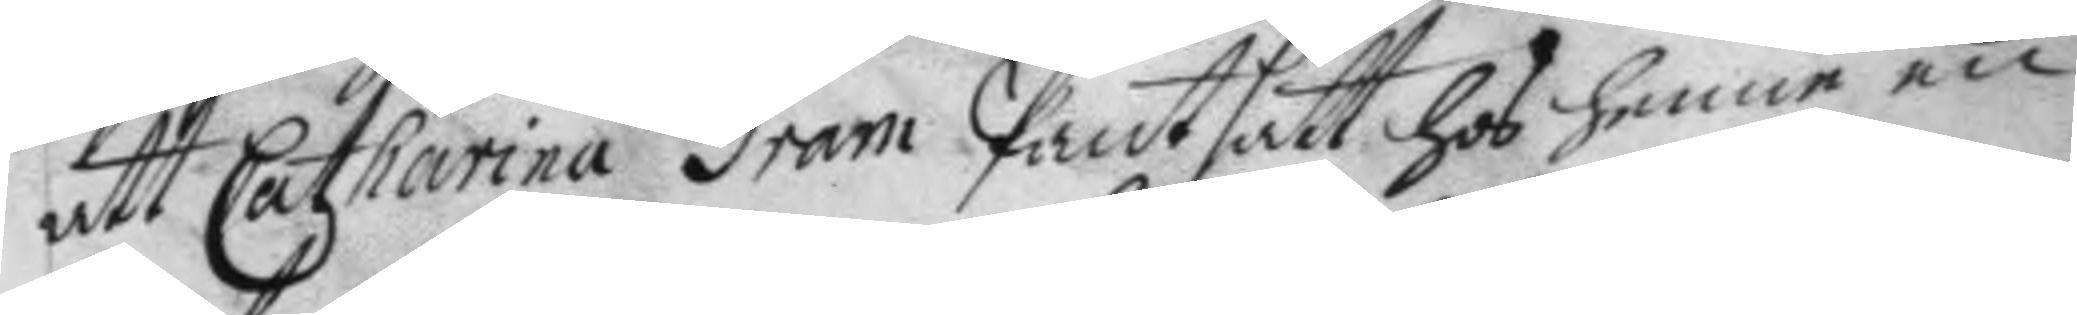att Catharina Gram Pantsatt hos henne en
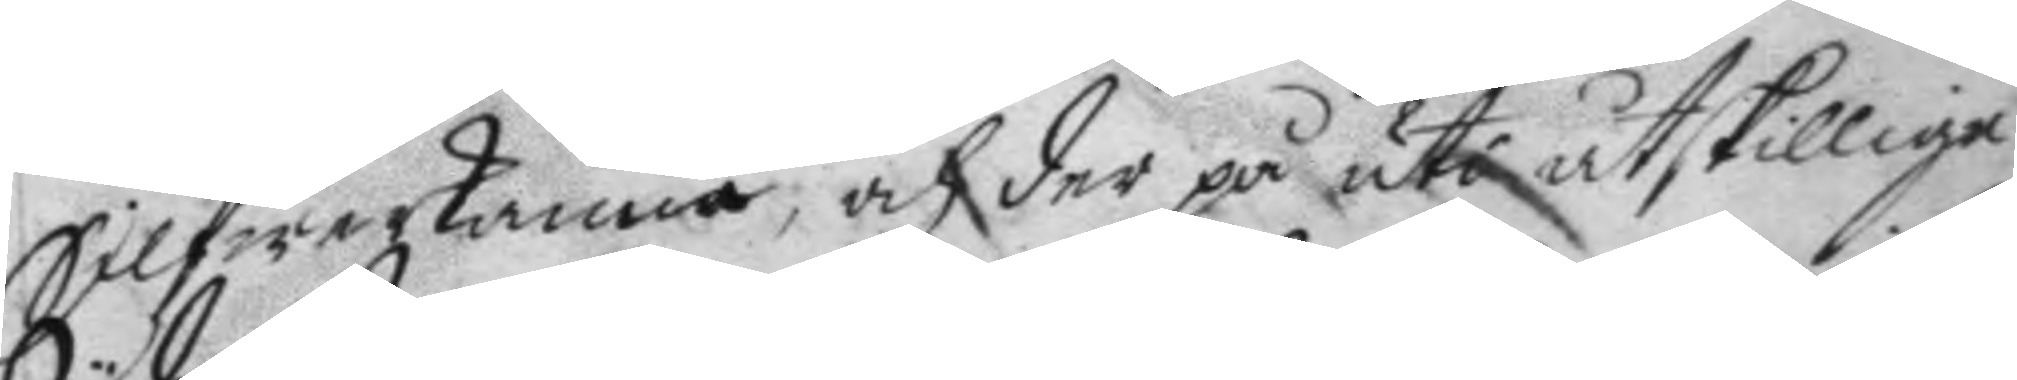Silfwerkanna; och der på uti åtskillige
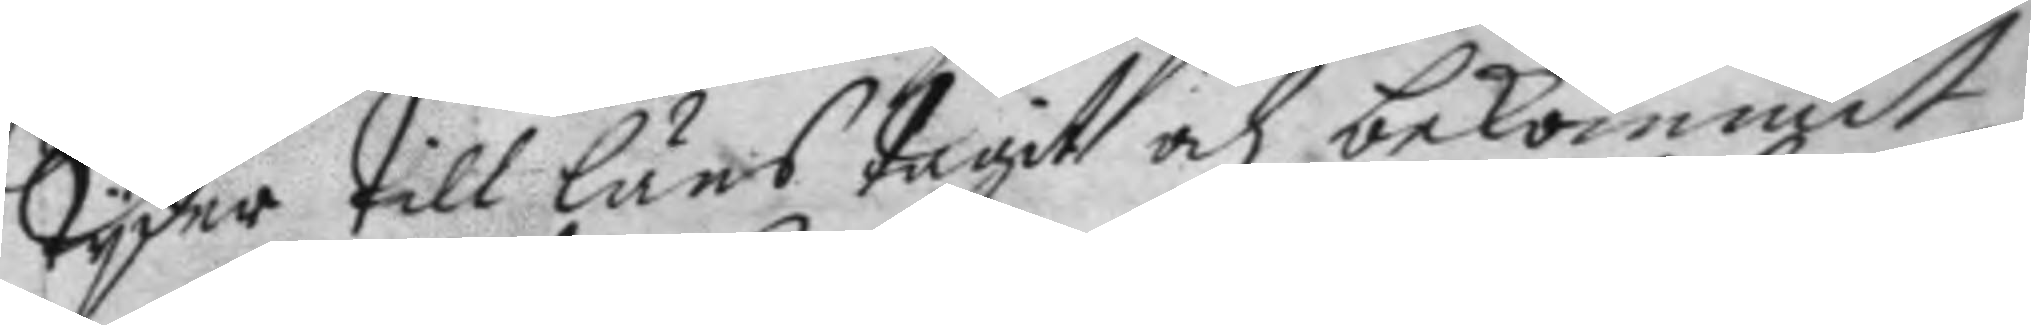Tyder till låns tagit och bekommit
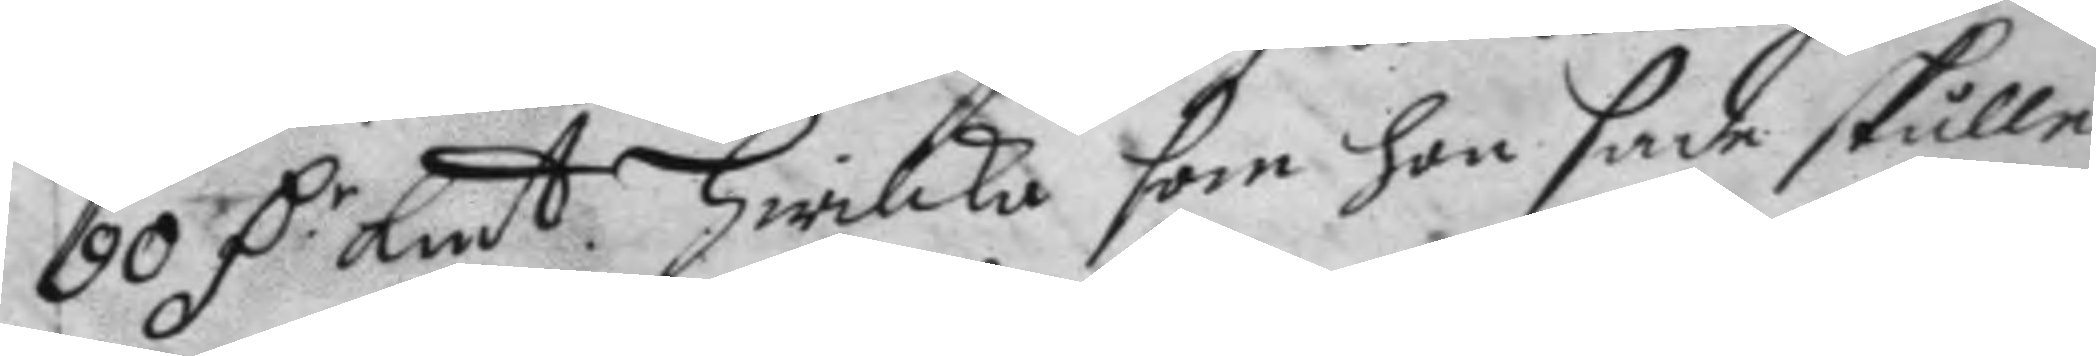90 D.r Kmt hwilka som hon sade skulle 
